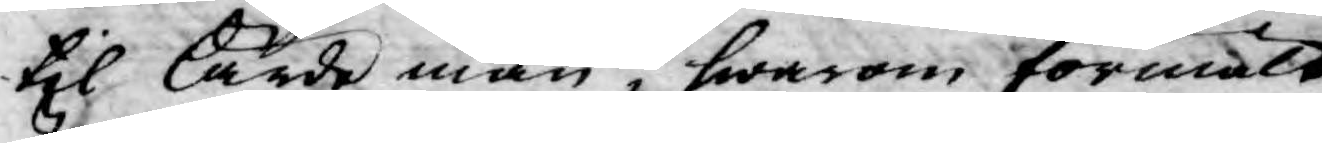til lärde män, hwarom förmält
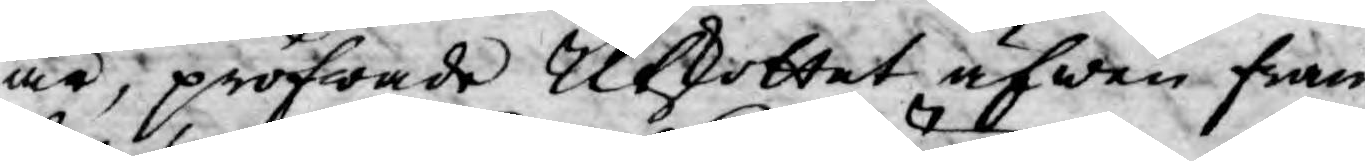är, pröfwade Utsottet äfwen fram¬
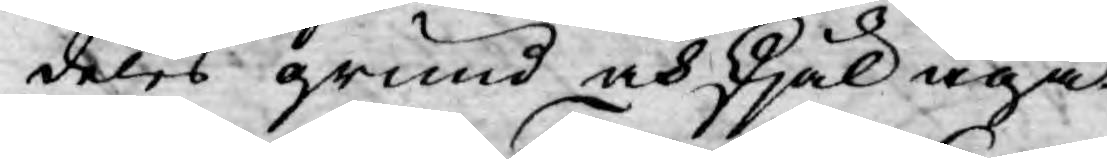deles grund och skjäl äga.
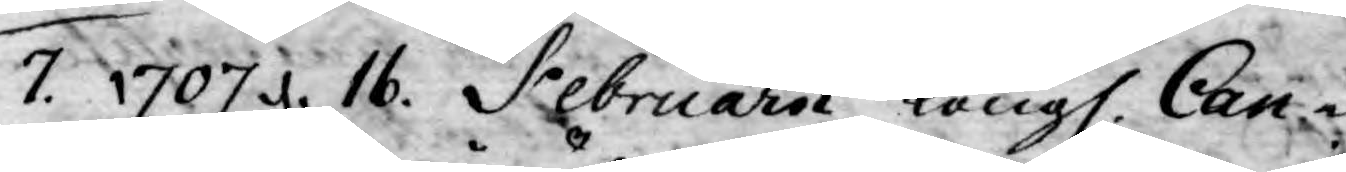7. 1707 d. 16. Februarii Kongl. Can¬
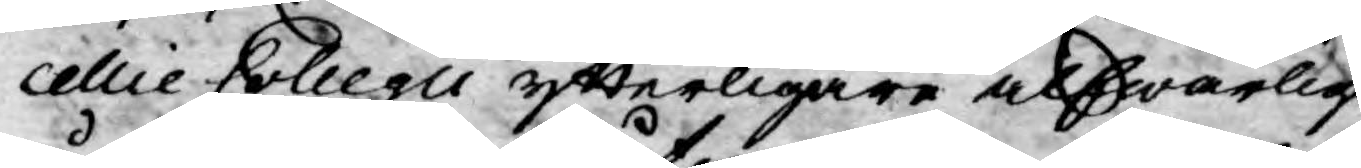cellie Collegii ytterligare alfwarlige
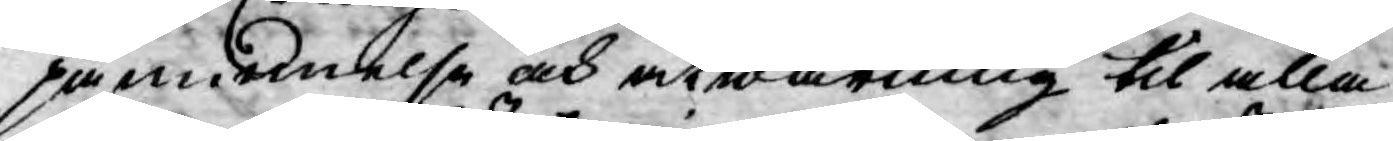påminnelse och åtwarning til alla
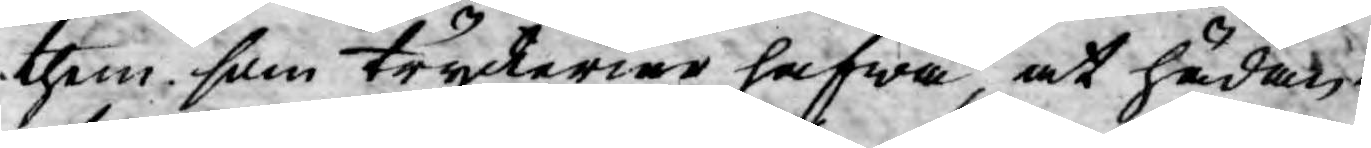them som tryckerier hafwa, at hädan¬
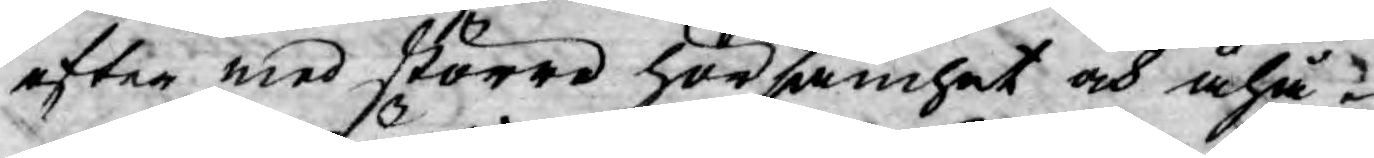efter med större hörsamhet och åhå¬
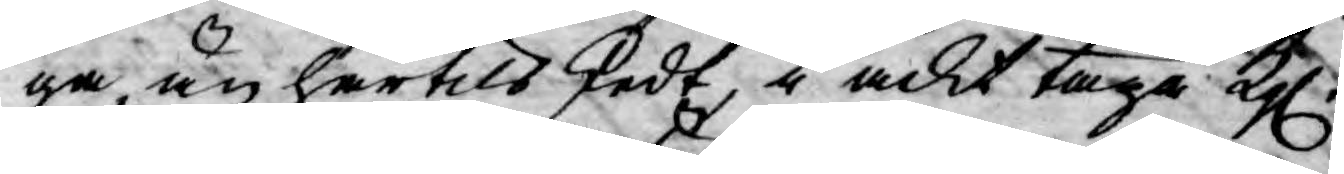ga än härtils sedt, i ackt taga Kgl.
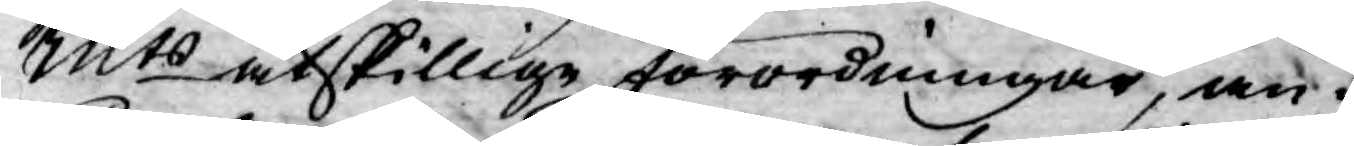Mts åtskillige förordningar, an¬
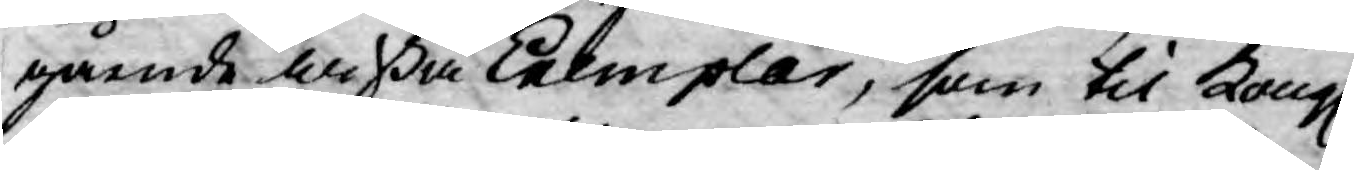gående wißa Exemplar, som til Kongl.
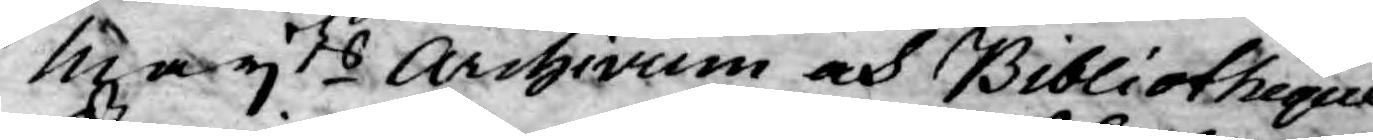Mayts Archivum och Bibliotheque
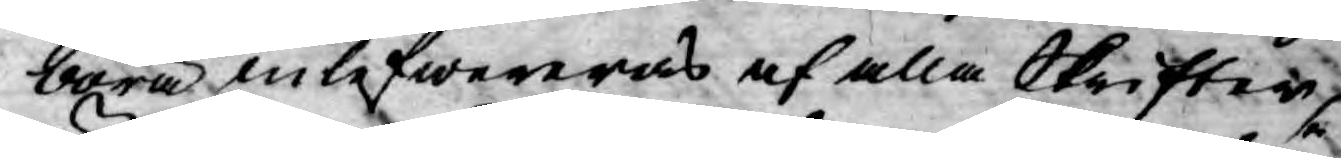böra inlefwereras af alla Skrifter,
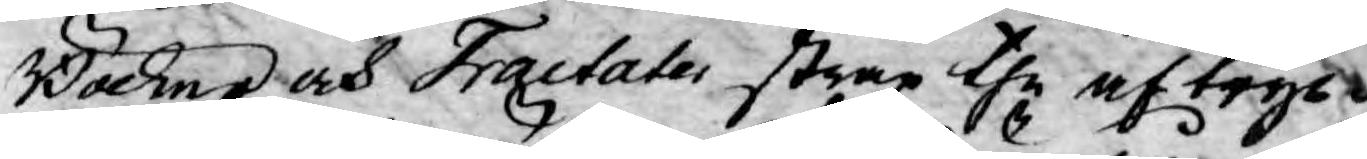Böcker och Tractater strax the aftryck¬
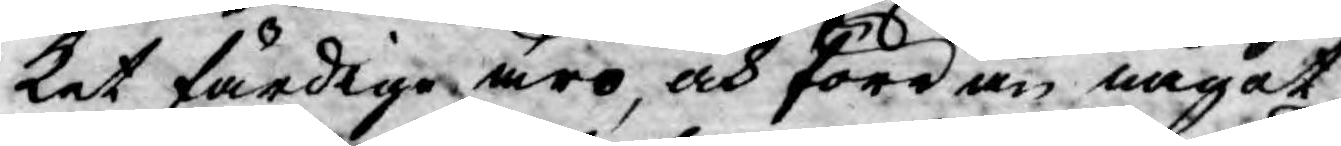ket färdige äro, och förr än något
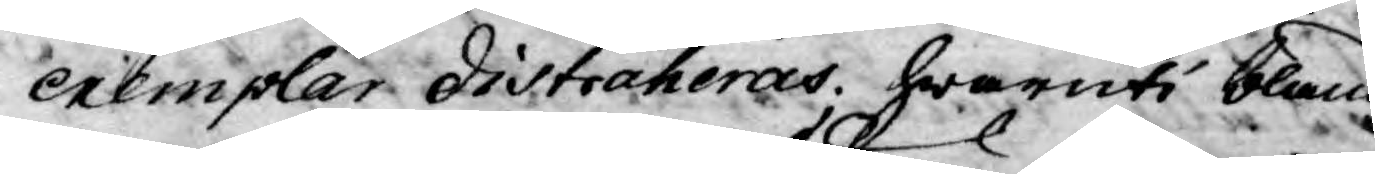exemplar distraheras; hwaruti bland
